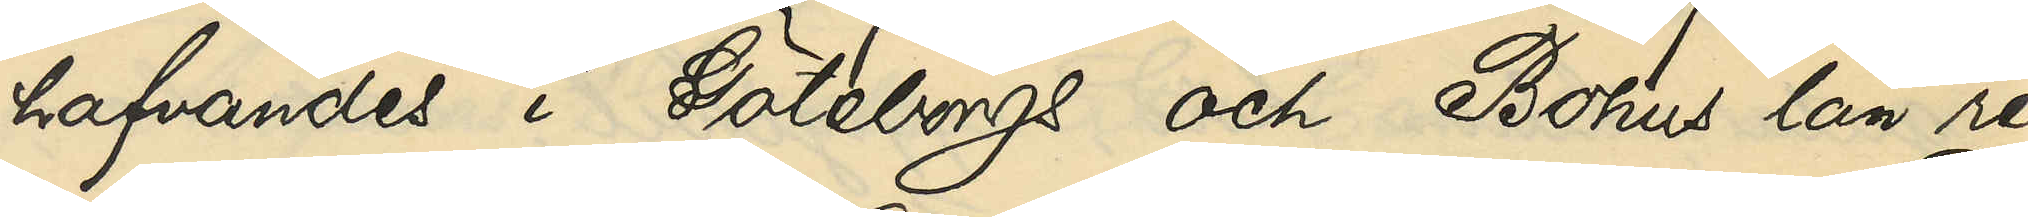hafvandes i Göteborgs och Bohus län re¬
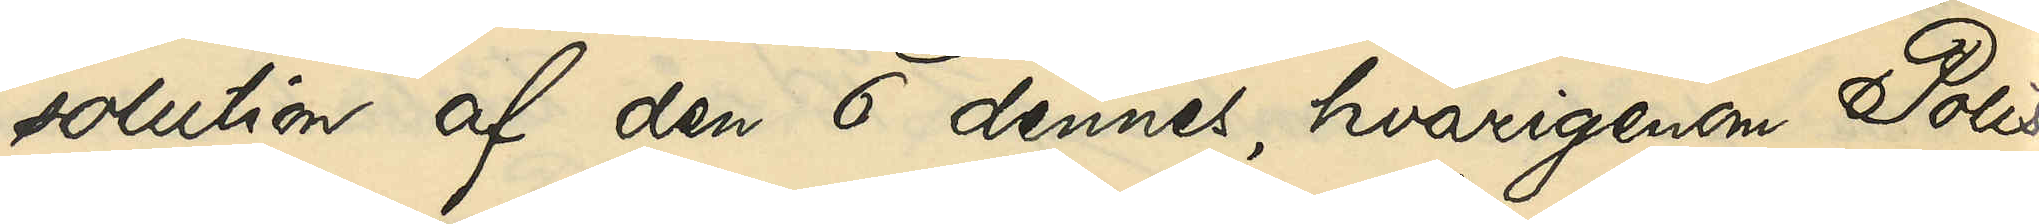solution af den 6 dennes, hvarigenom Polis¬
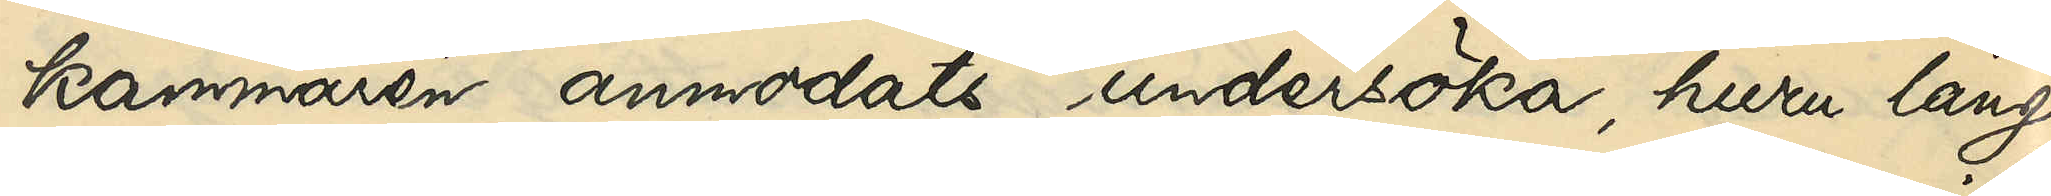kammaren anmodats undersöka, huru länge
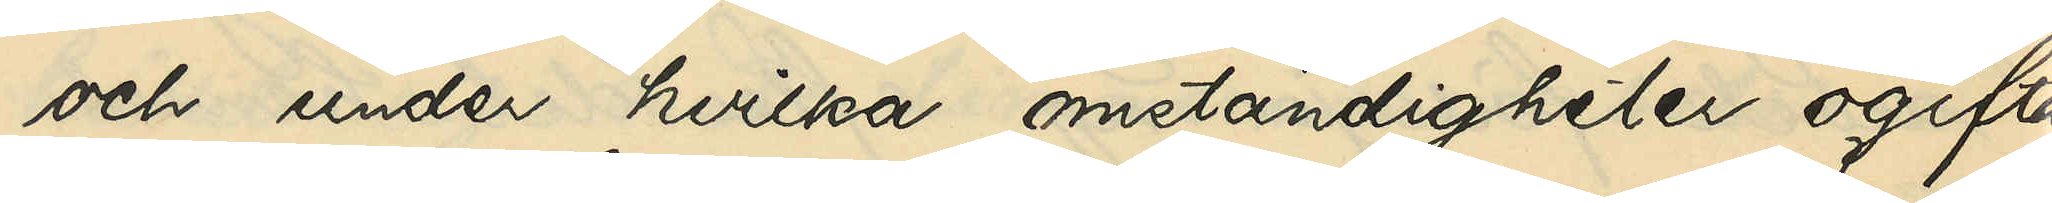och under hvilka omständigheter ogifta
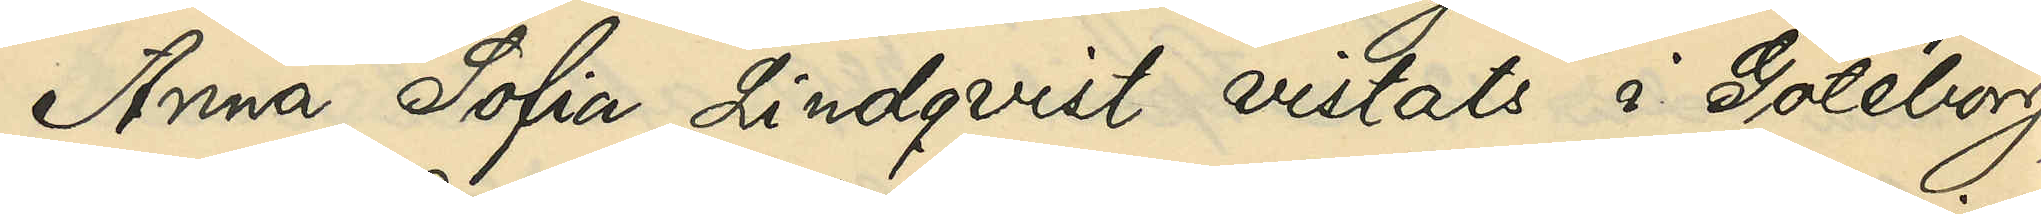Anna Sofia Lindqvist vistats i Göteborg,
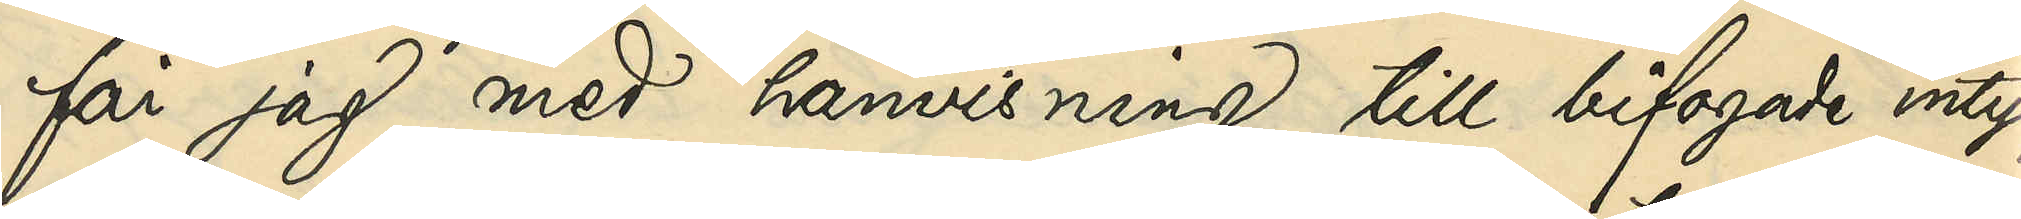får jag, med hänvisning till bifogade intyg
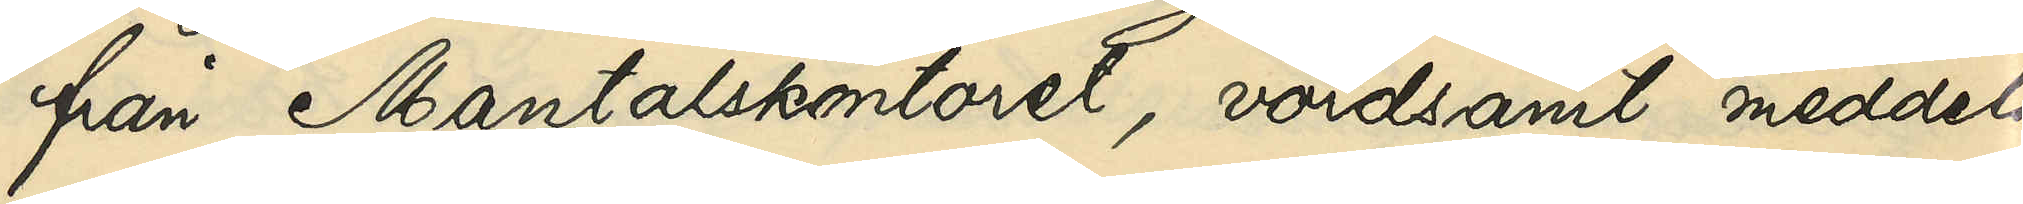från Mantalskontoret, vördsamt meddela
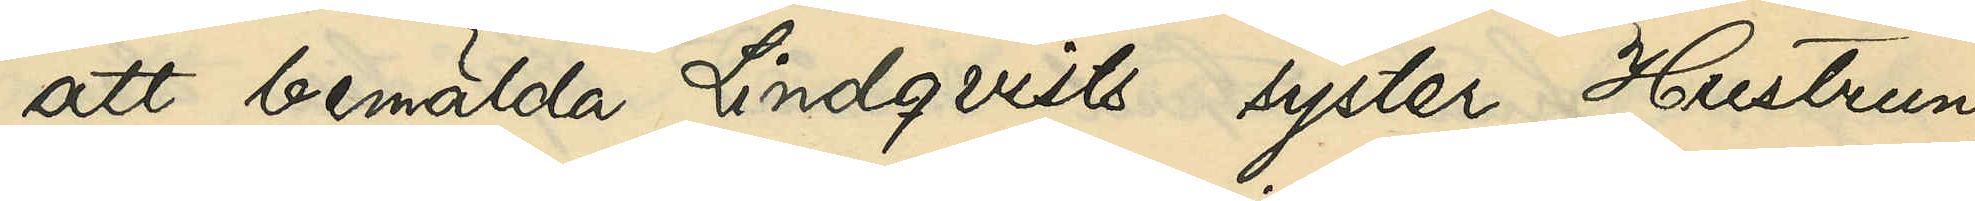att bemälda Lindqvists syster, Hustrun
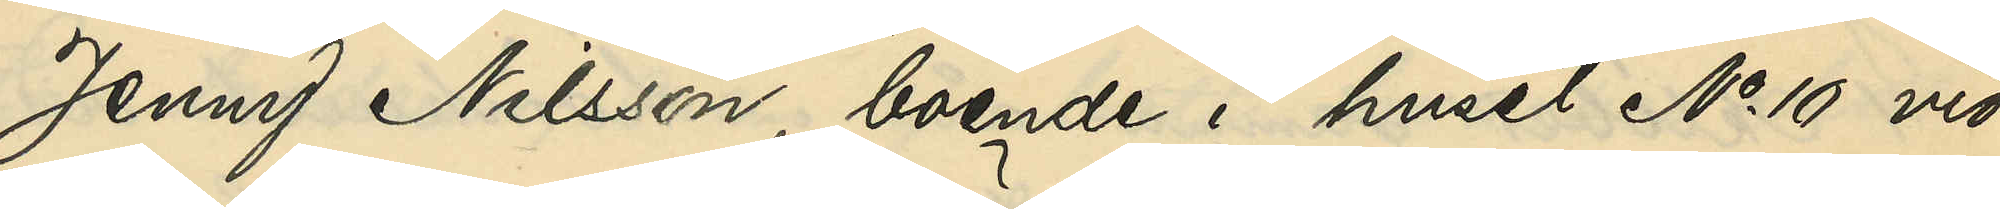Jenny Nilsson, boende i huset No 10 vid
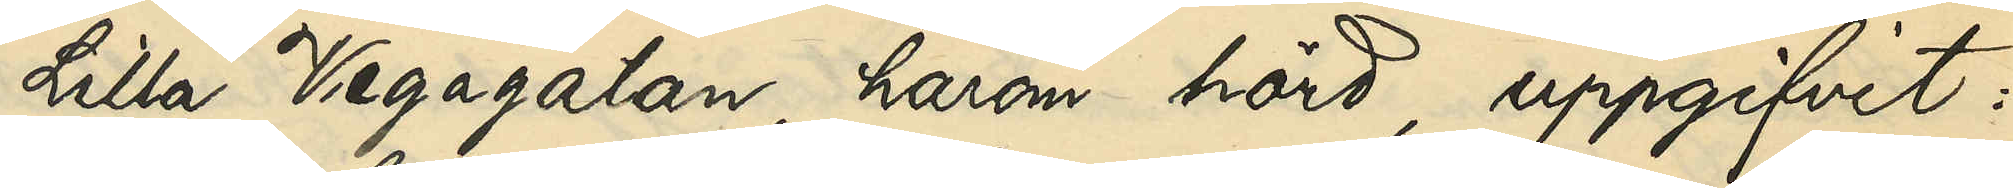Lilla Vegagatan, härom hörd, uppgifvit:
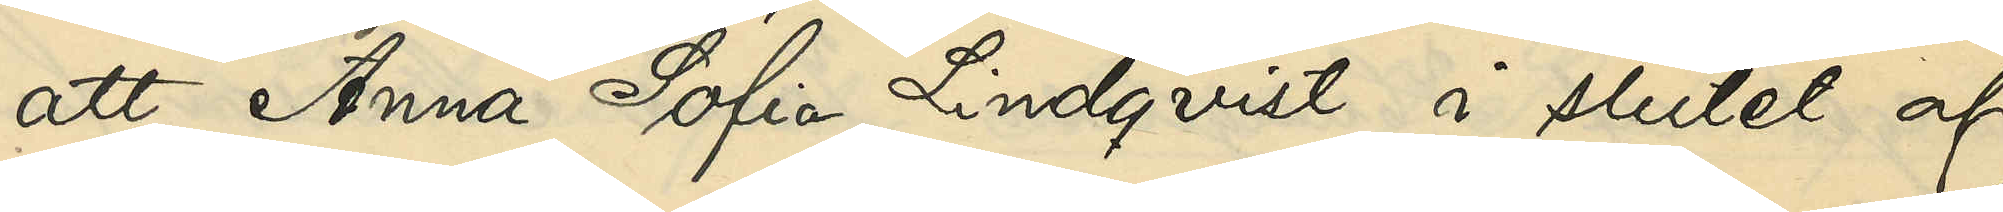att Anna Sofia Lindqvist i slutet af
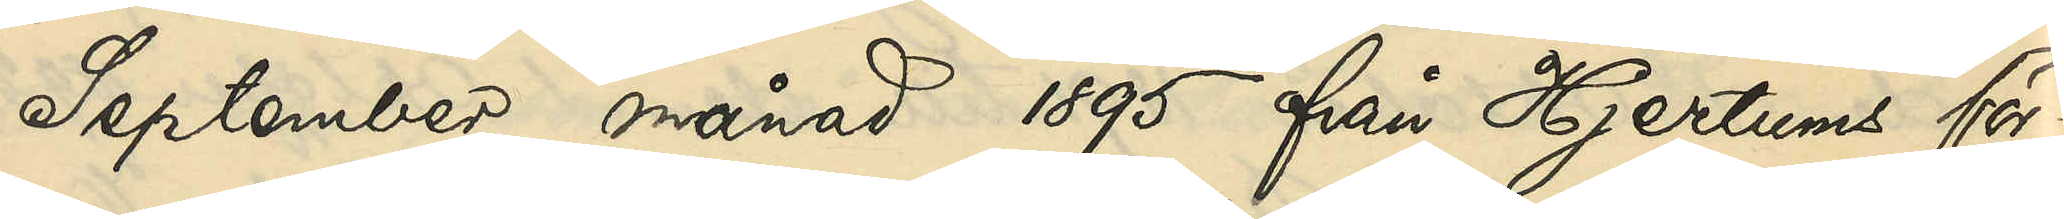September månad 1895 från Hjertums för¬
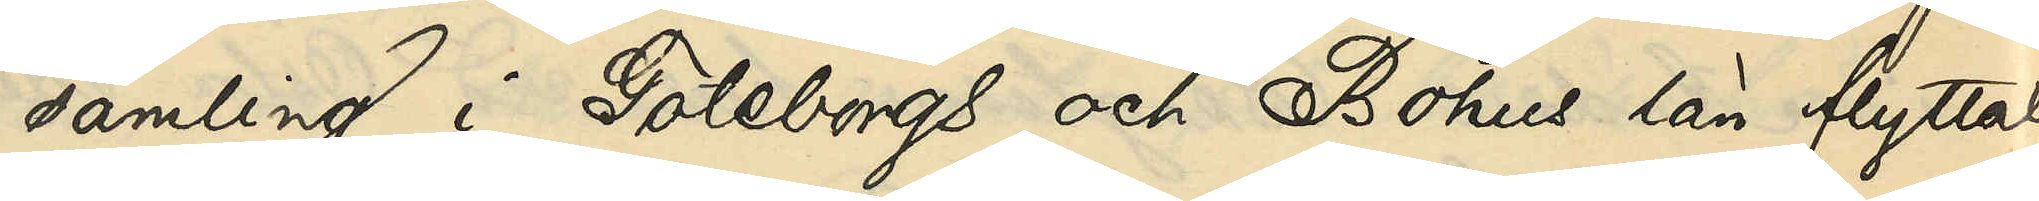samling i Göteborgs och Bohus län flyttat
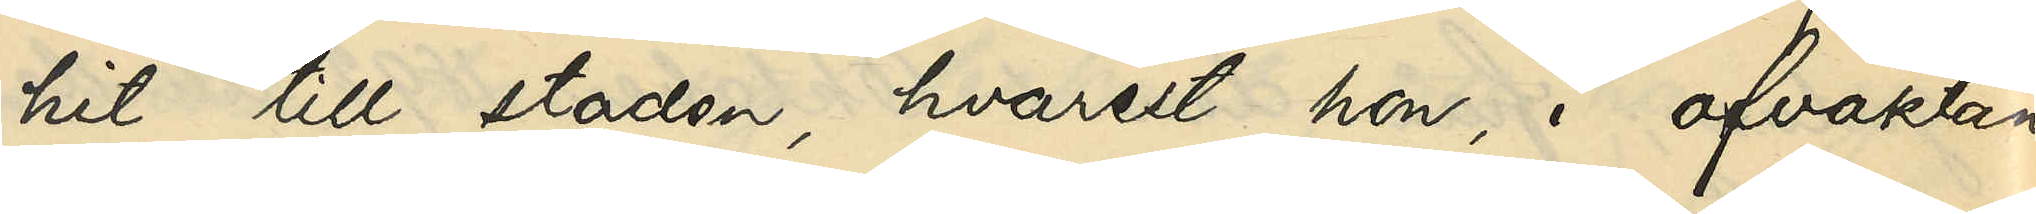hit till staden, hvarest hon, i afvaktan
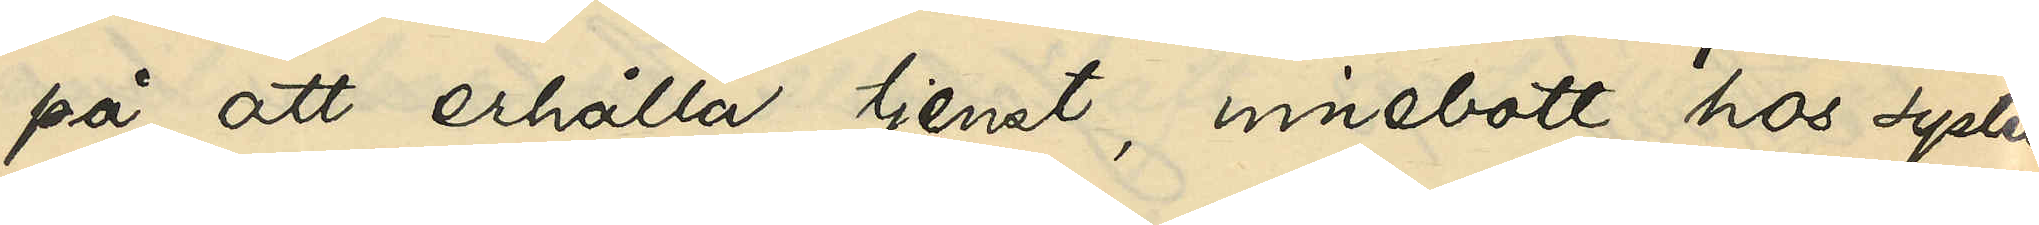på att erhålla tjenst, innebott hos systern
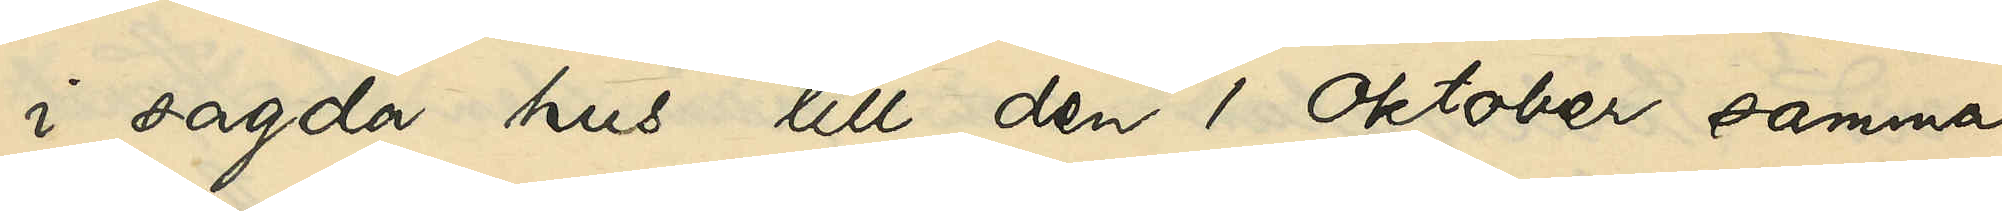i sagda hus till den 1 Oktober samma
